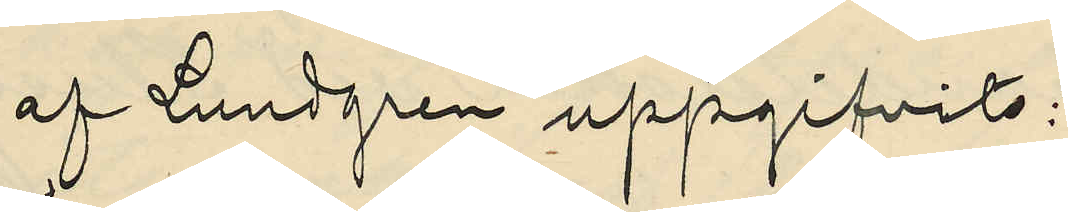af Lundgren uppgifvits:
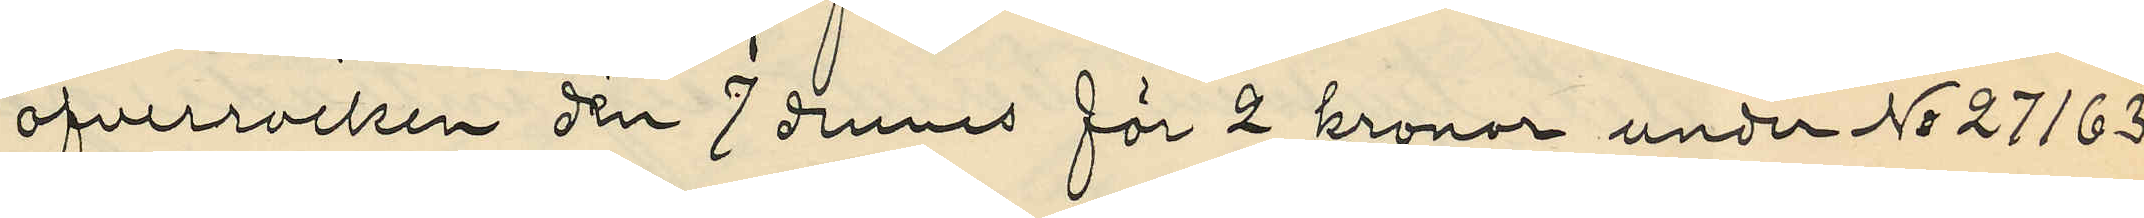öfverrocken den 7 dennes för 2 kronor under No 27163
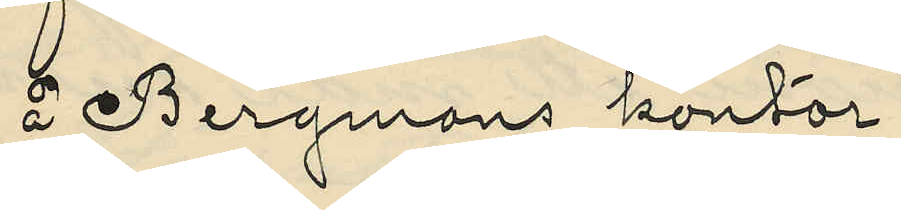å Bergmans kontor;
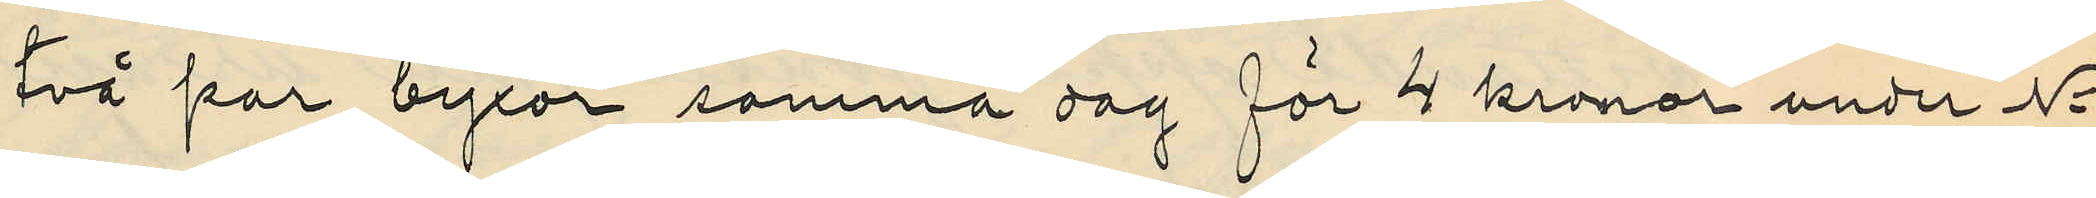två par byxor samma dag för 4 kronor under No
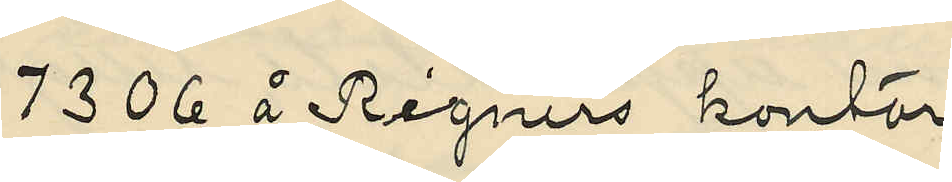7306 å Rigners kontor
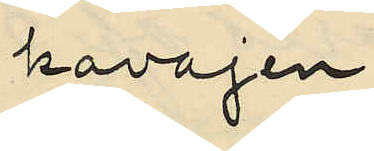kavajen
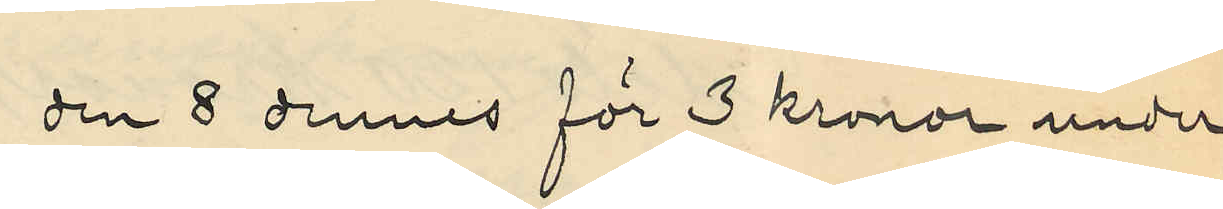den 8 dennes för 3 kronor under
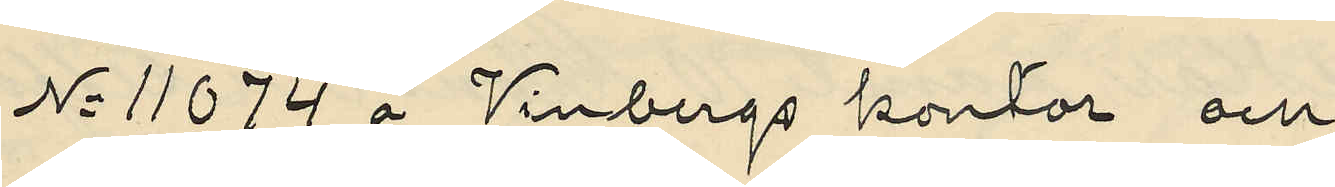No 11074 å Vinbergs kontor och
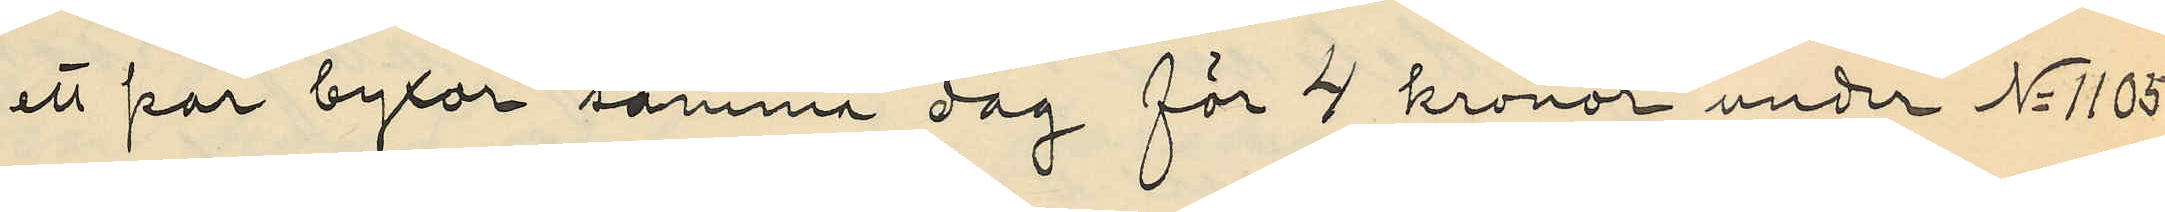ett par byxor samma dag för 4 kronor under No 11051
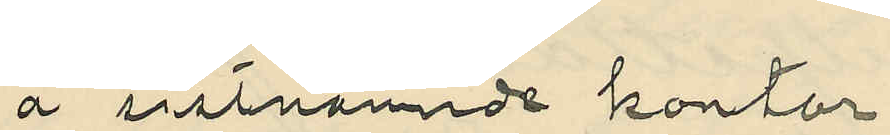å sistnämnde kontor.
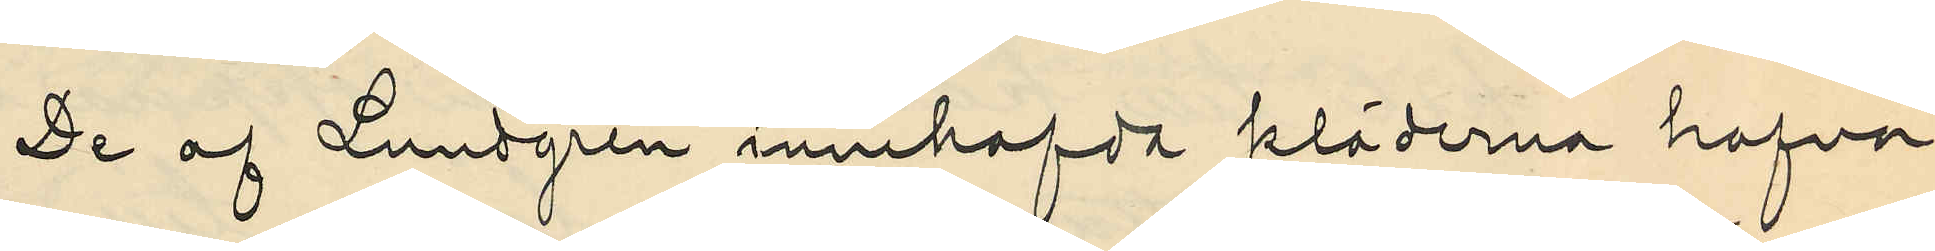De af Lundgren innehafda kläderna hafva
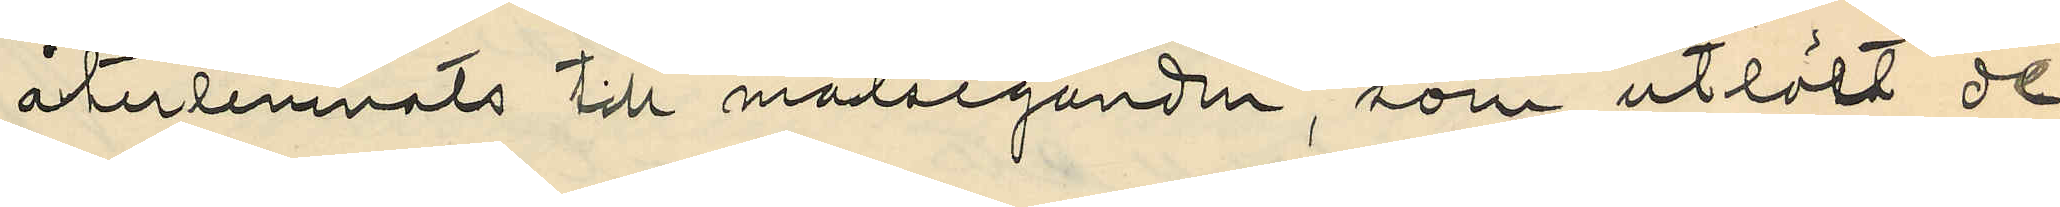återlemnats till målseganden , som utlöst de
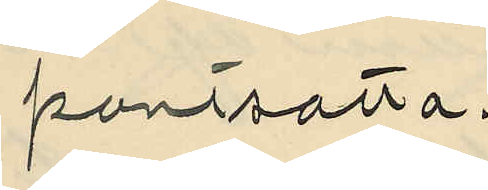pantsatta.
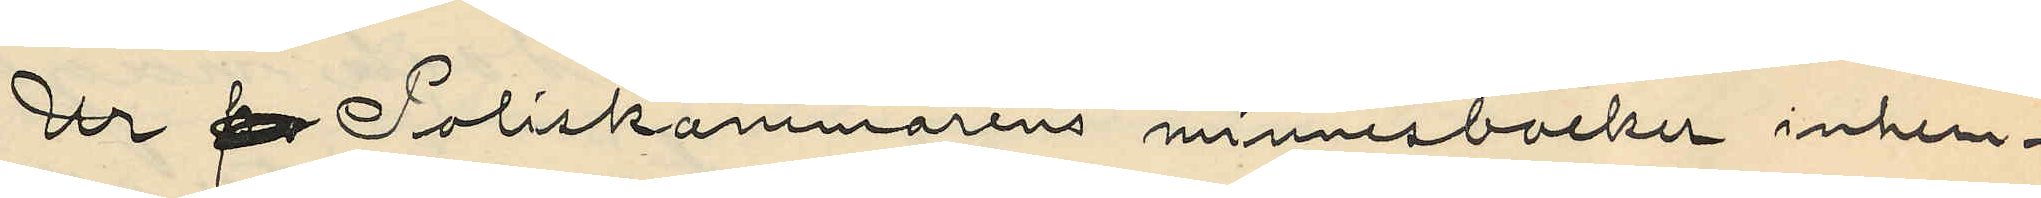Ur p Poliskammarens minnesböcker inhem¬
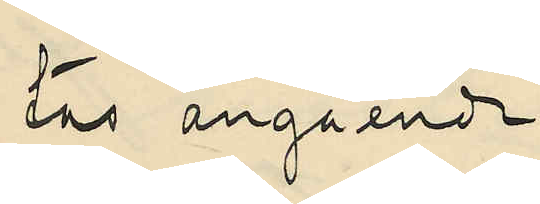tas angående
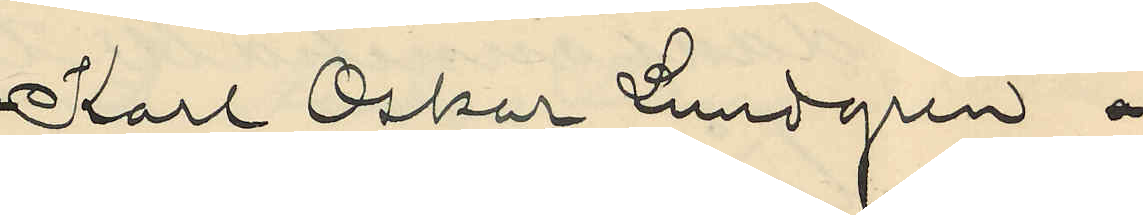Karl Oskar Lundgren a
